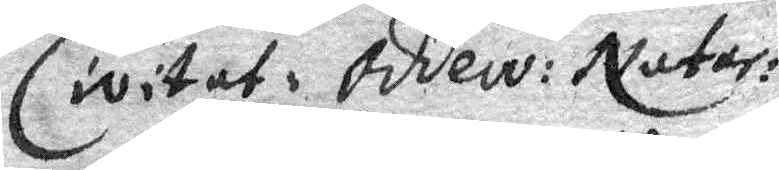Civitat: Oddw: Nutar: 
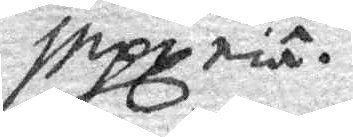inpgria.
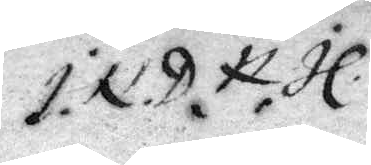I.N.D.N.H.
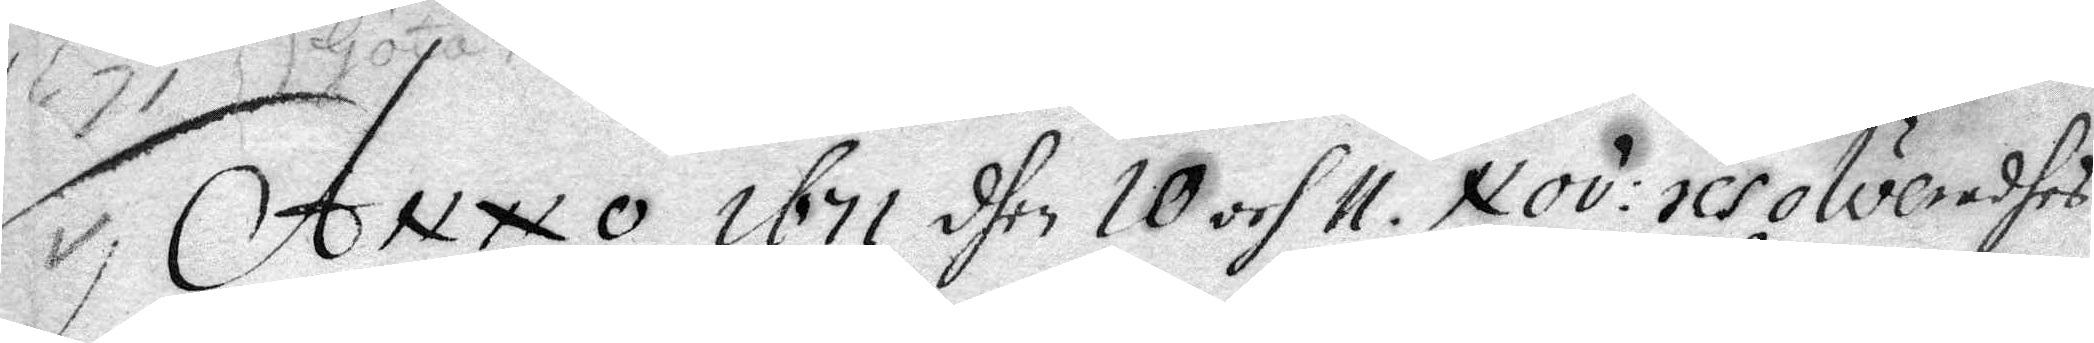Anno 1671 dhen 10 och 11 Nov: resolveradhes
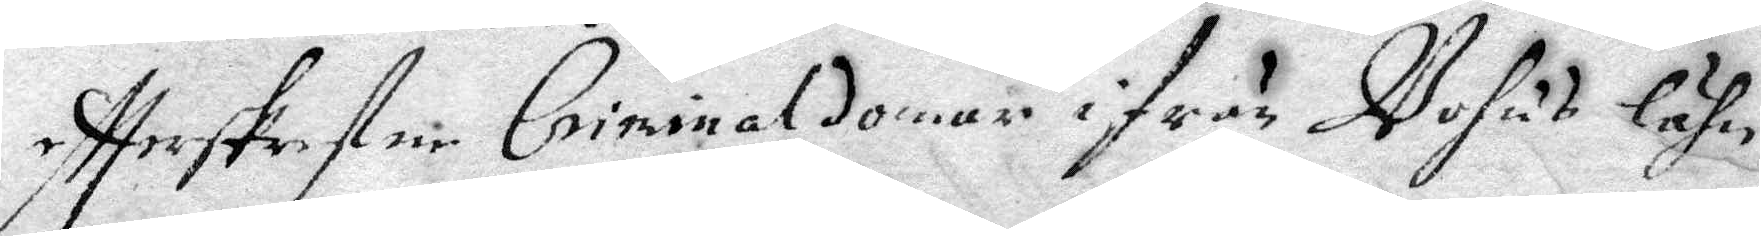eftterskrefne Criminal domar ifrån Bohus lähn
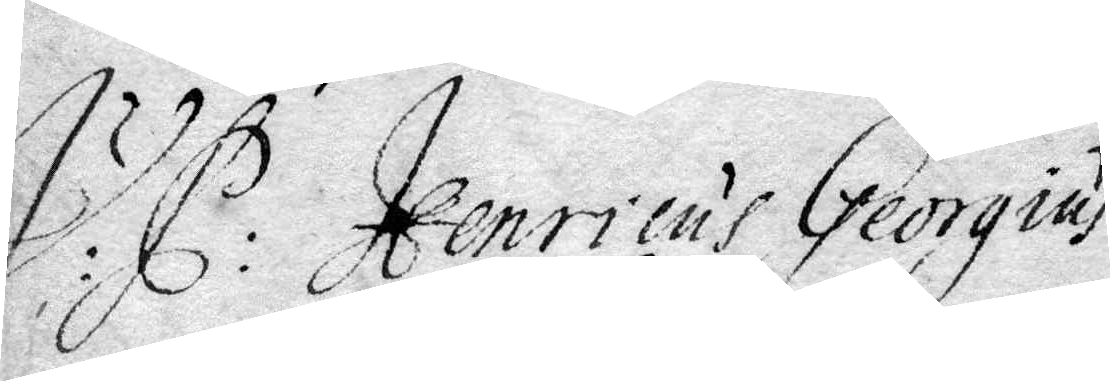I: C: Henricus Georgius
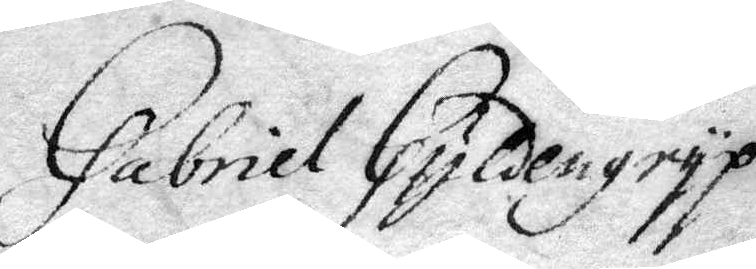Gabriel Gyldengryp.
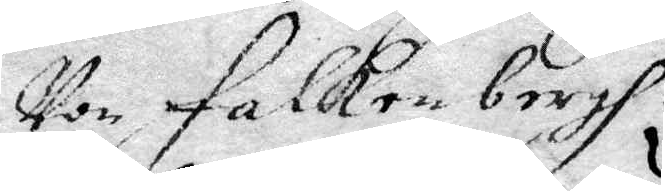Von Falken bergh
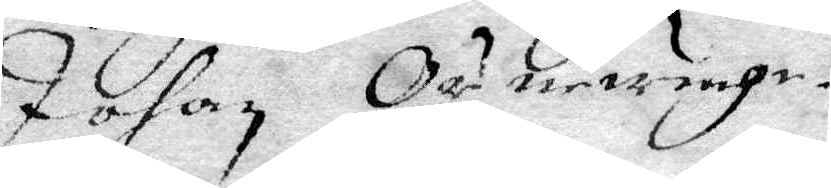Johan Örnewinge
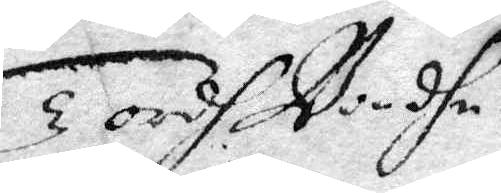Tordh Bondhe
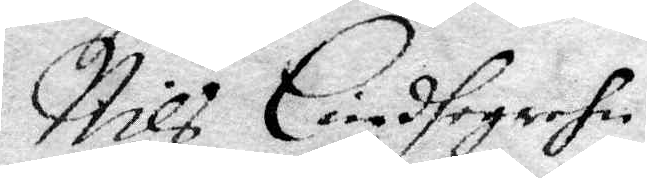Nils Lindfegrehn
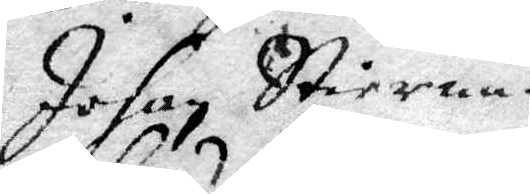Johan Stierna
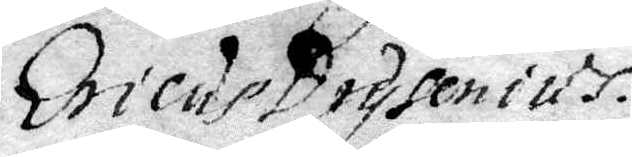Ericus Drysenius
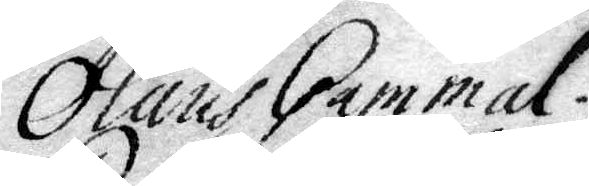Olaus Gammal
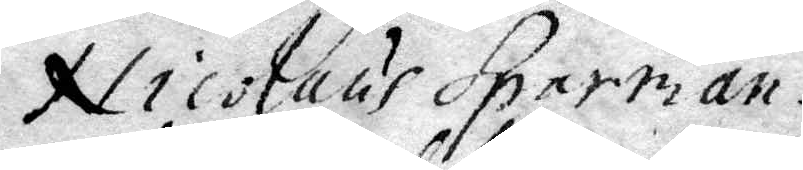Nicolaus Sparman
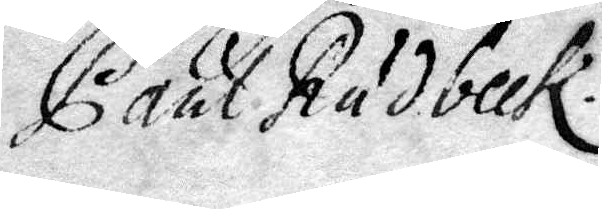Paul Rudbeck
